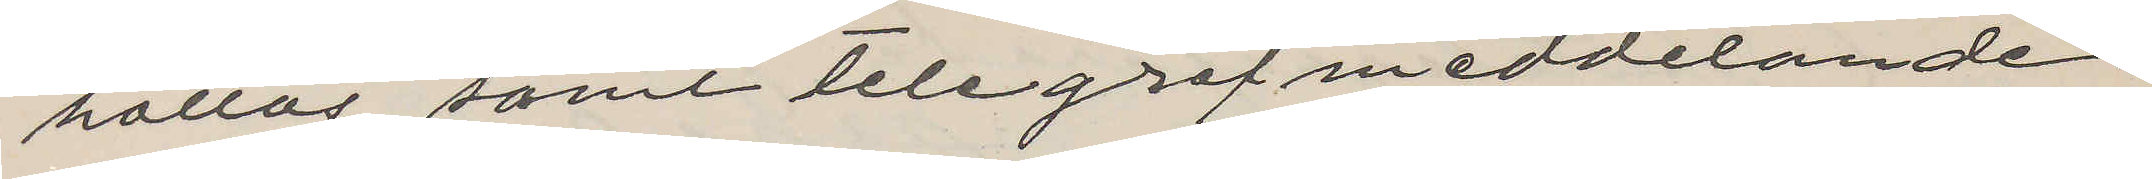hållas, samt telegrafmeddelande
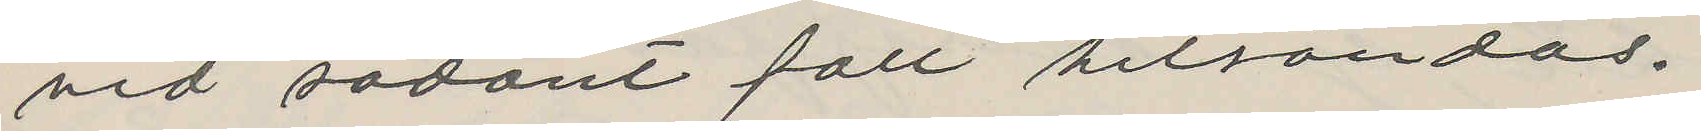vid sådant fall hitsändas.
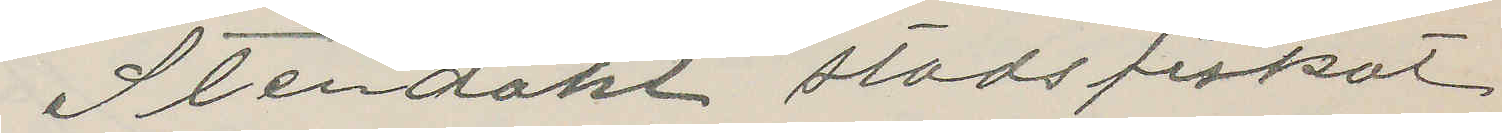Stendahl stadsfiskal
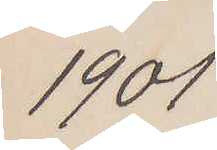1901
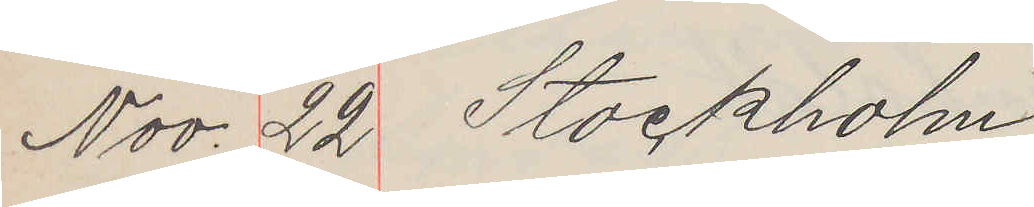Nov. 22 Stockholm
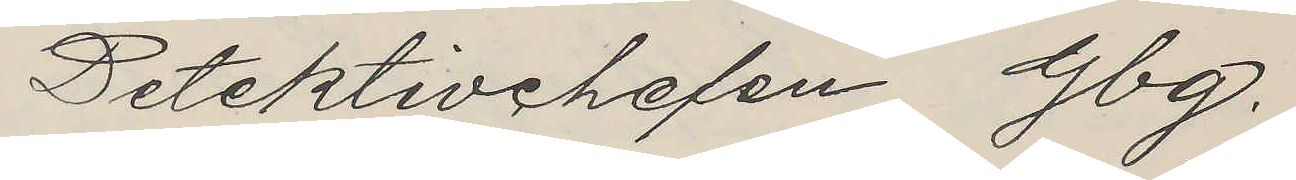Detektivchefen Gbg.
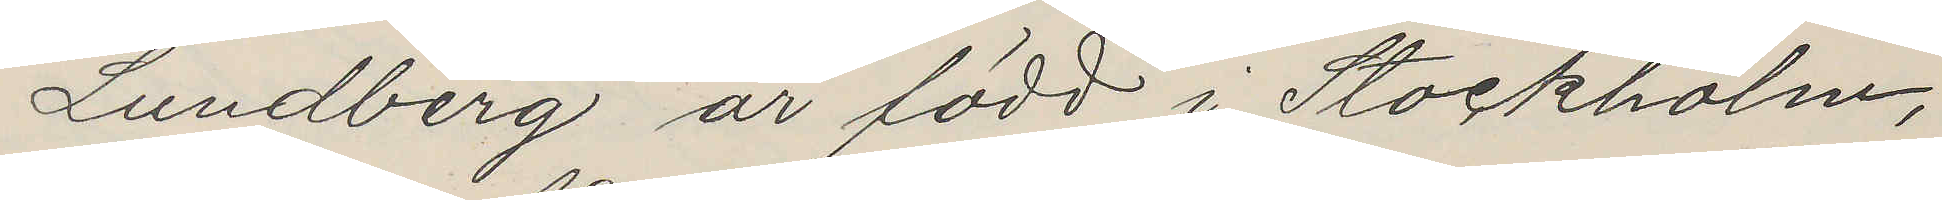Lundberg är född i Stockholm,
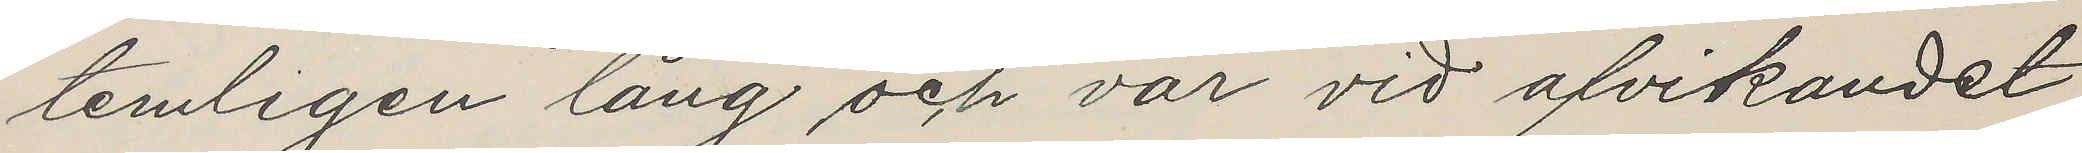temligen lång och var vid afvikandet
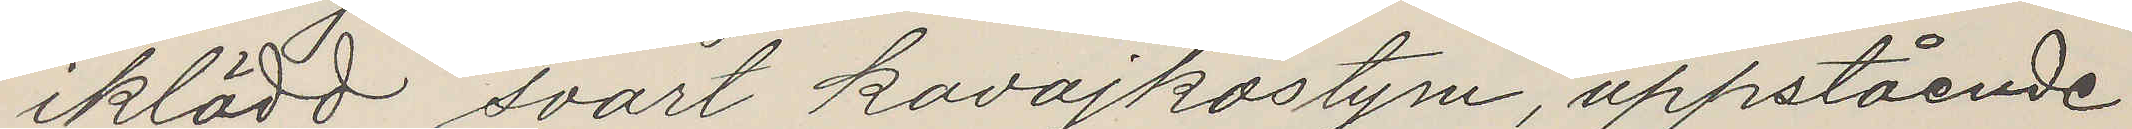iklädd svart kavajkostym, uppstående
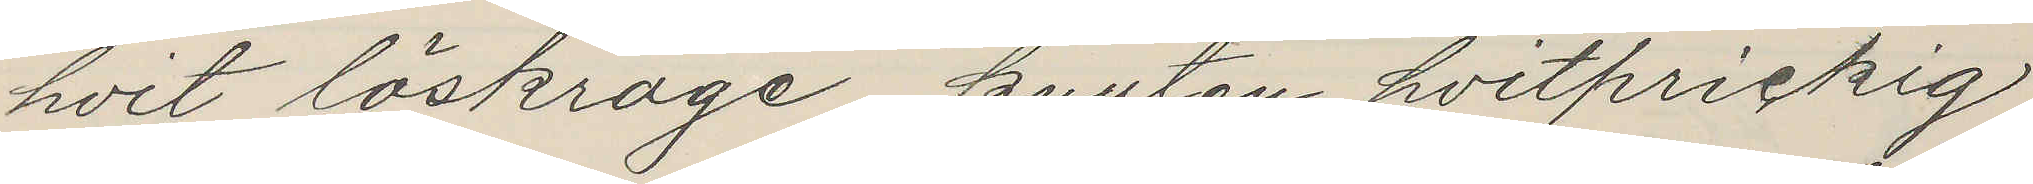hvit löskrage, knuten hvitprickig
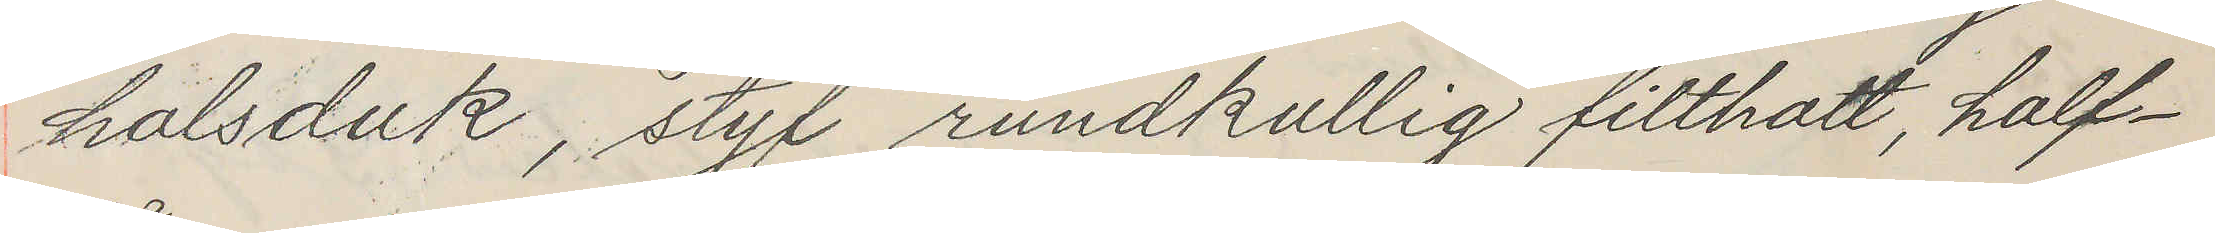halsduk, styf rundkullig filthatt, half¬
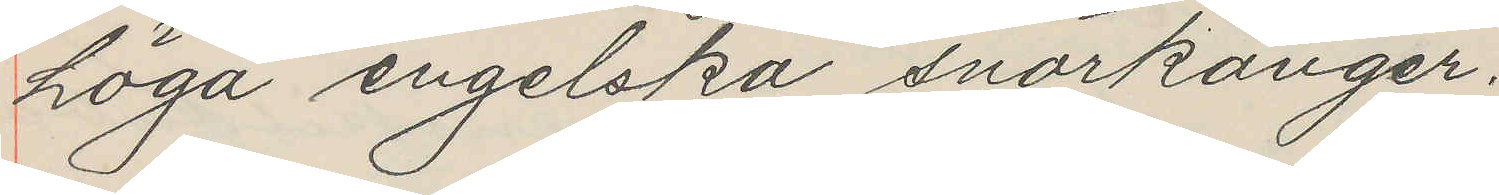höga engelska snörkänger.
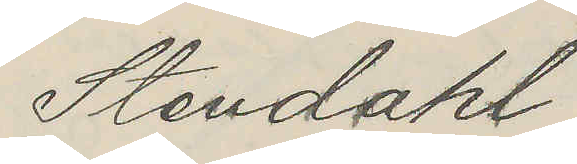Stendahl
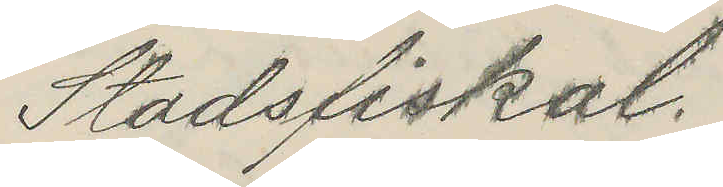Stadsfiskal.
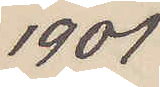1901
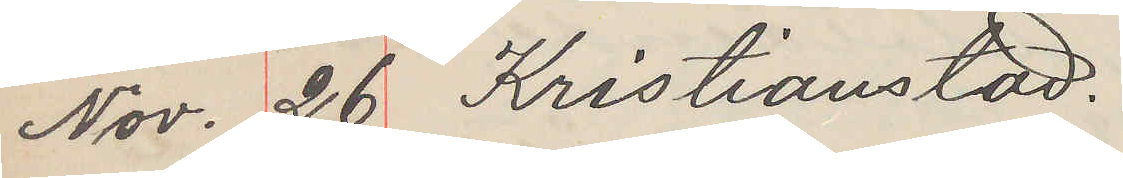Nov. 26 Kristianstad.
